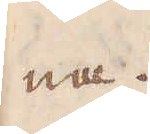na.
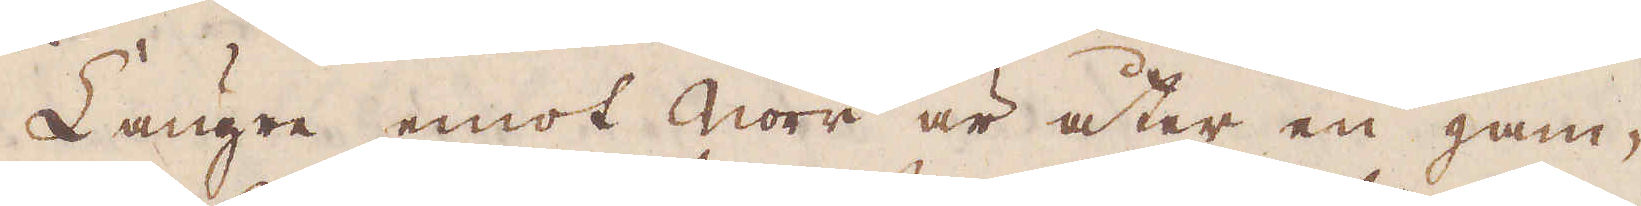Längre emot Norr är åter en gam-
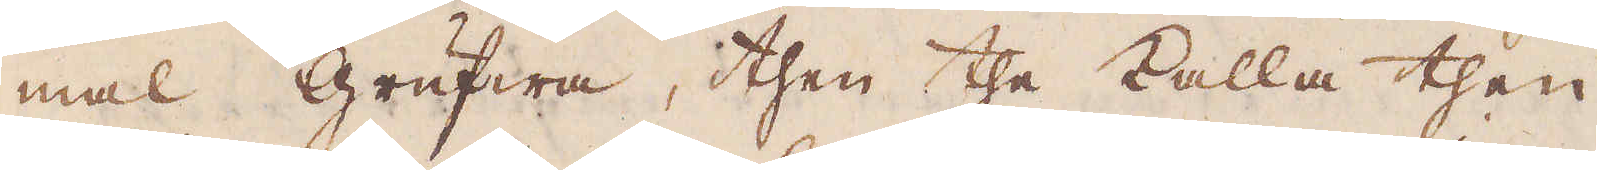mal grufwa, then the kalla then
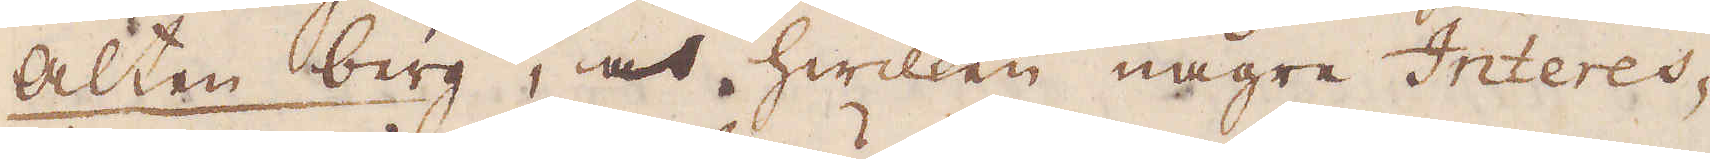Alten berg, och hwilken någre Interes-
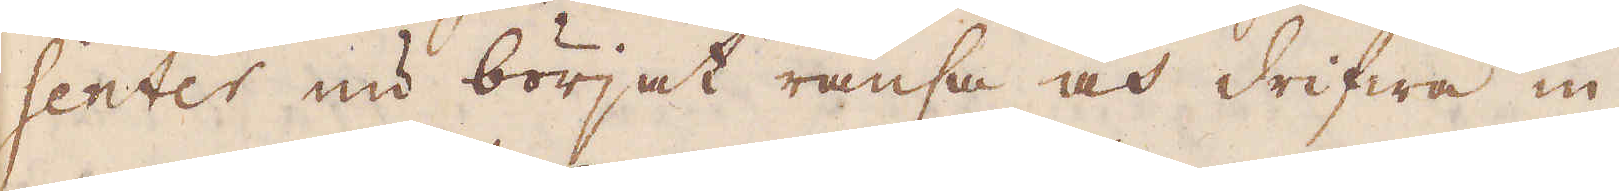senter nu börjat ränsa och drifwa in
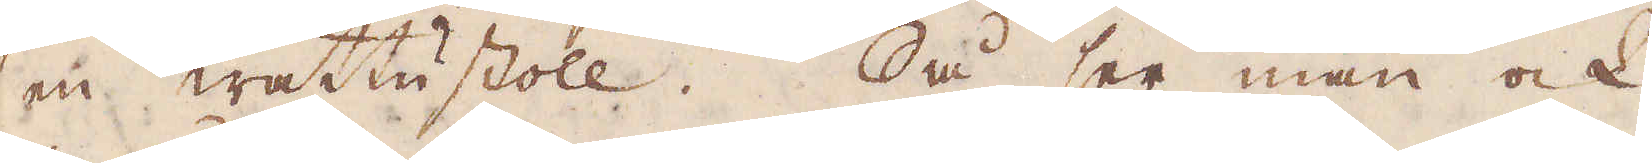en wattustoll. Så ser man ock
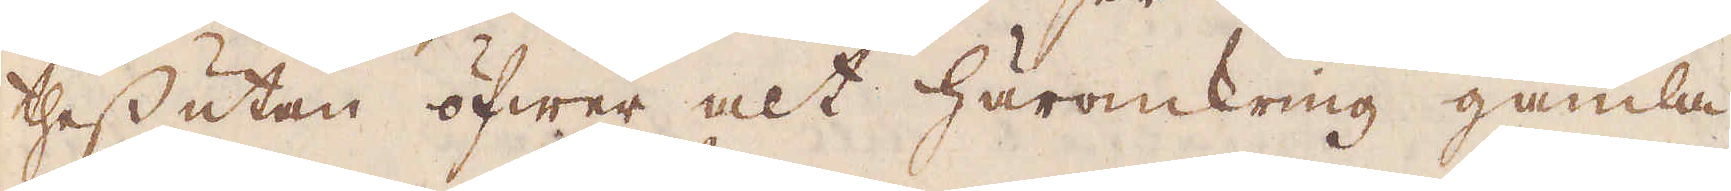thessutan öfwer alt häromkring gamla
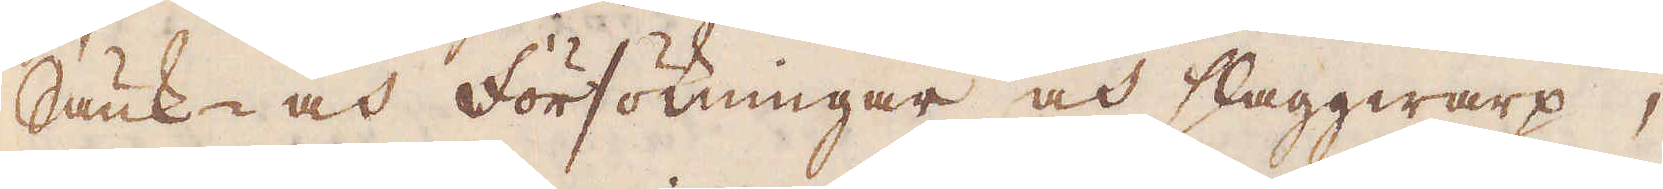Sänk- och försökningar och slaggwarp,
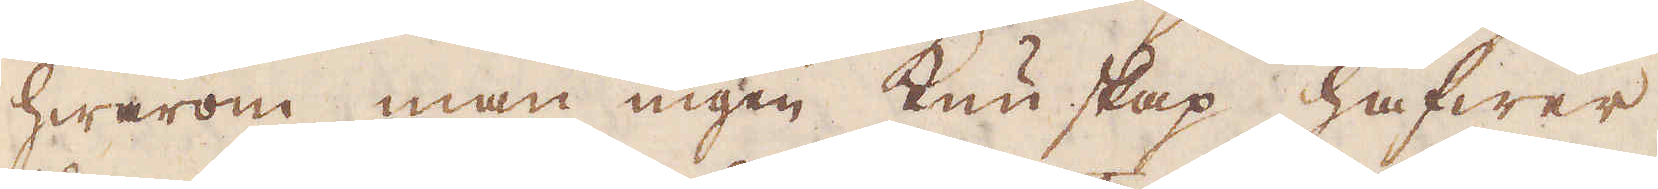hwarom man ingen kunskap hafwer,
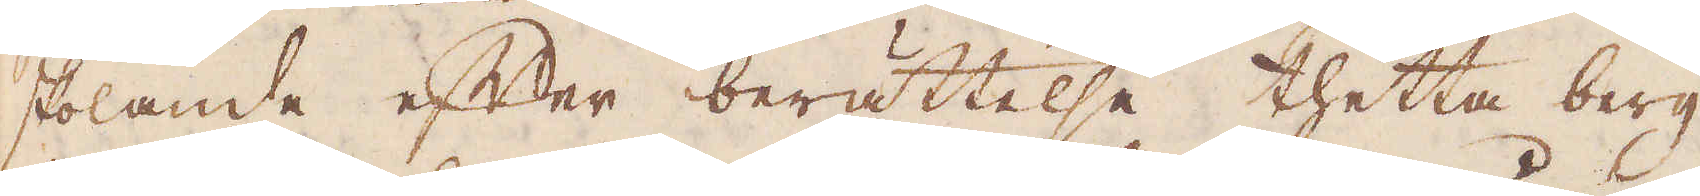skolande efter berättelse thetta berg
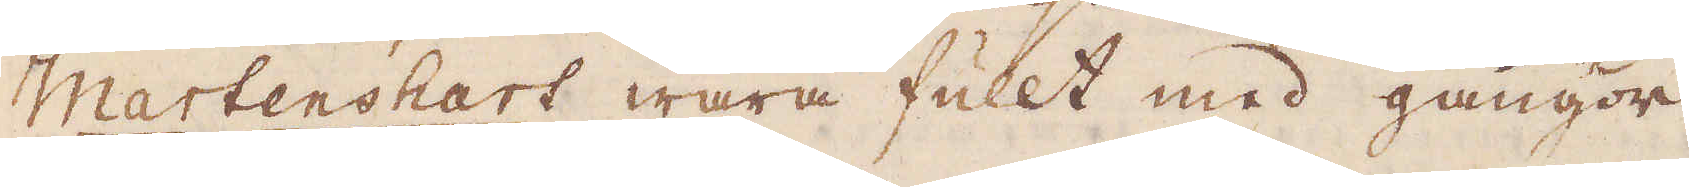Martenshart wara fullt med gångor
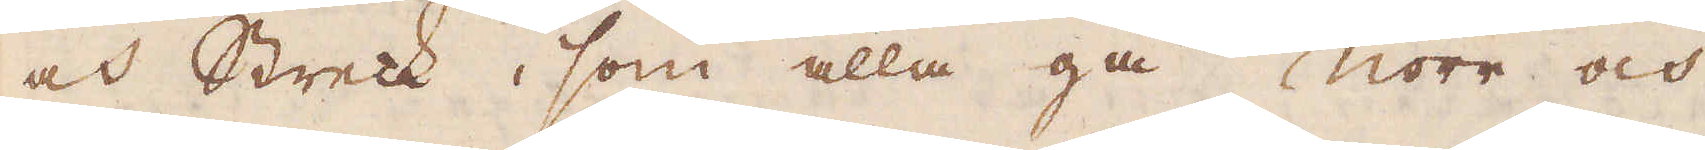och Streck, som alla gå Norr och
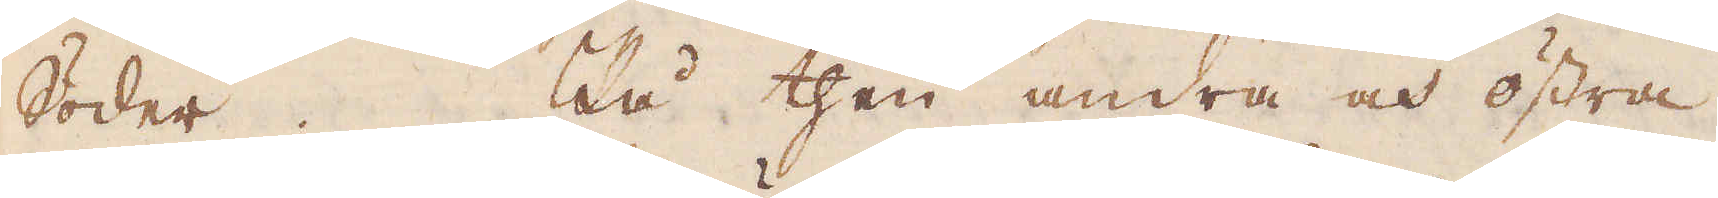Söder. På then andra och östra
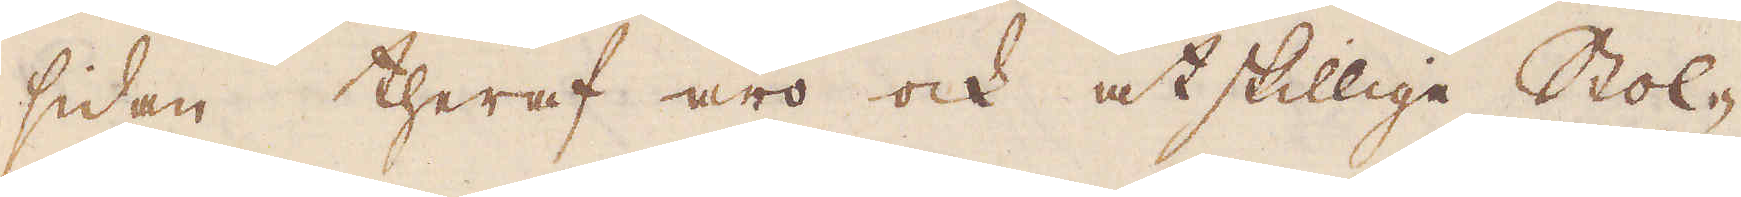sidan theraf äro ock åtskillige Stol-
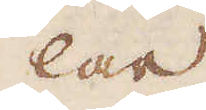lar
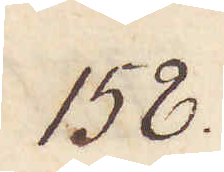158.
